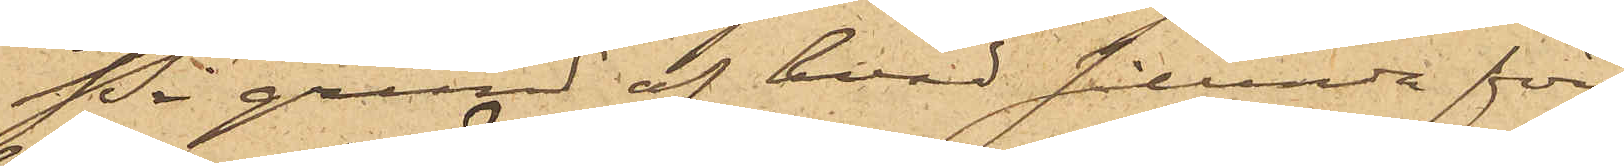På grund af hvad sålunda före¬
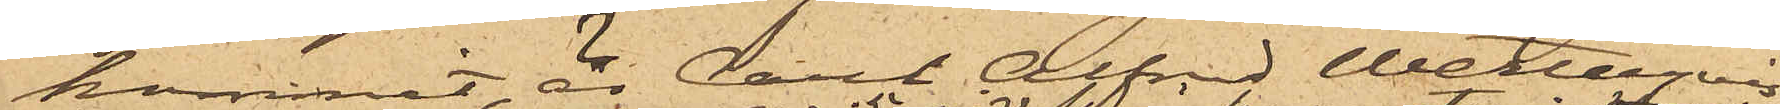kommit är Carl Alfred Wetterqvist, 
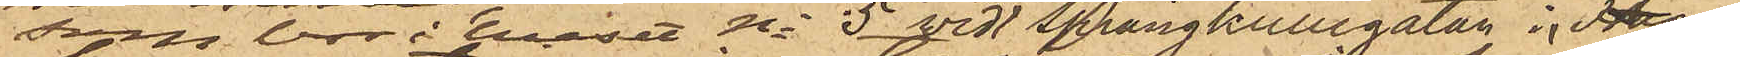som bor i huset No 5 vid Sprängkullsgatan i Haga,
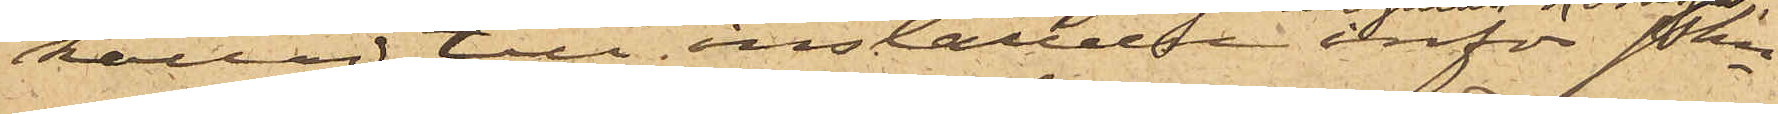kallad till inställelse inför Pkn
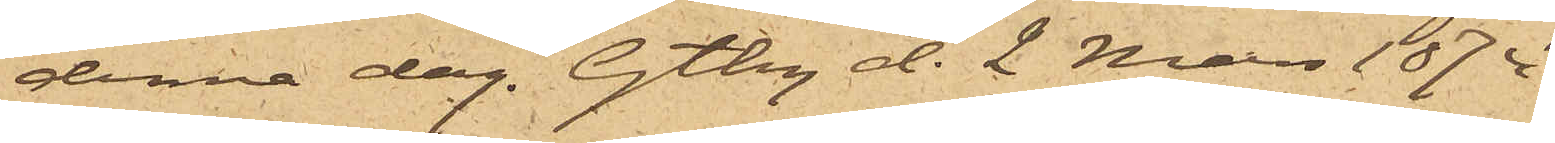denna dag. Gtbg d. 2 Mars 1874.
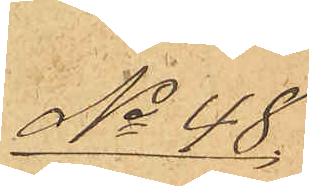No 48
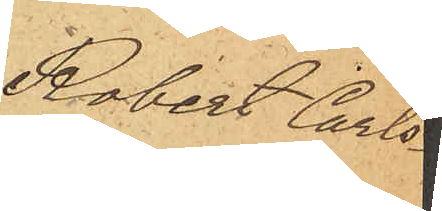Robert Carls¬
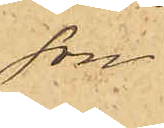son
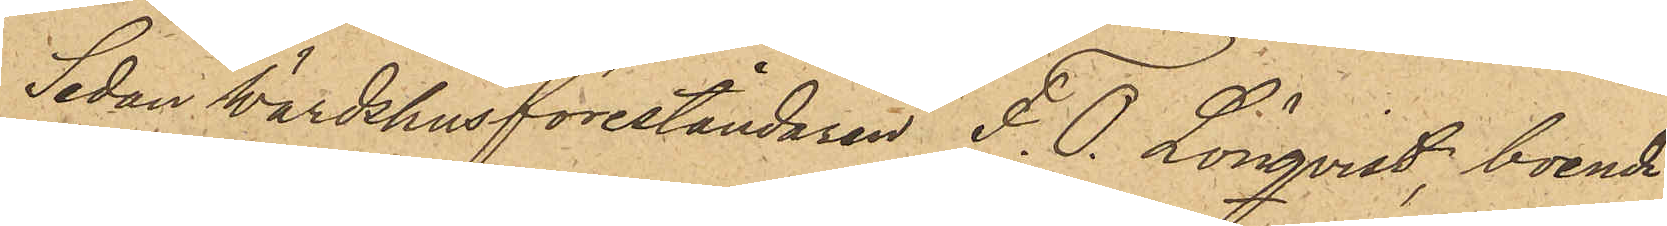Sedan värdshusföreståndaren F. O. Lönqvist, boende
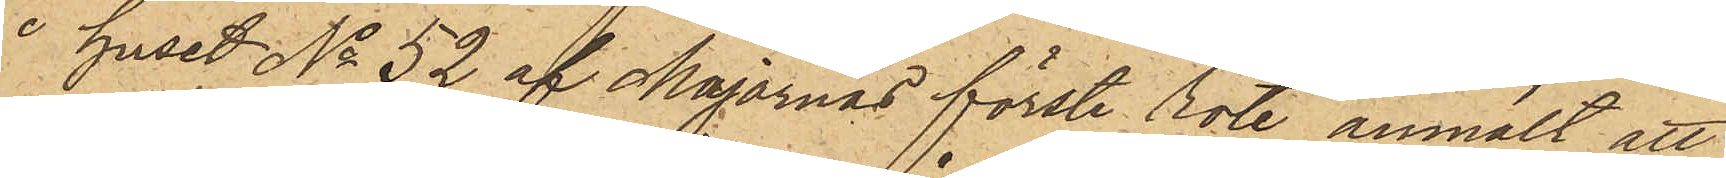i huset No 52 af Majornas förste rote, anmält, att
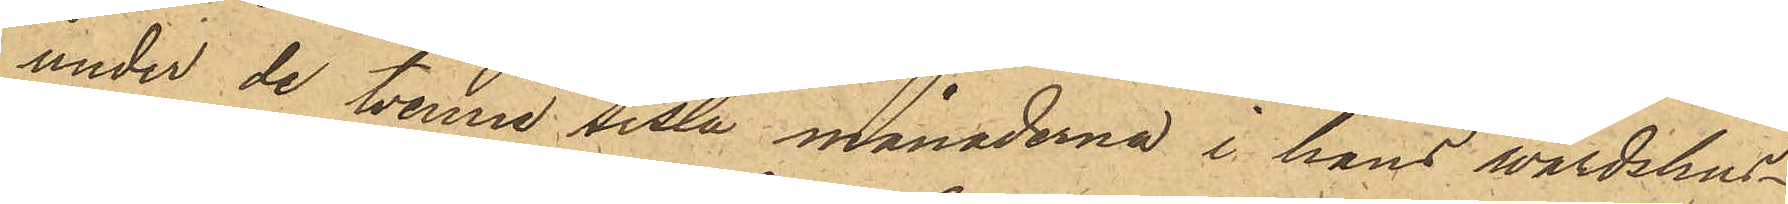under de tvenne sista månaderna i hans värdshus¬
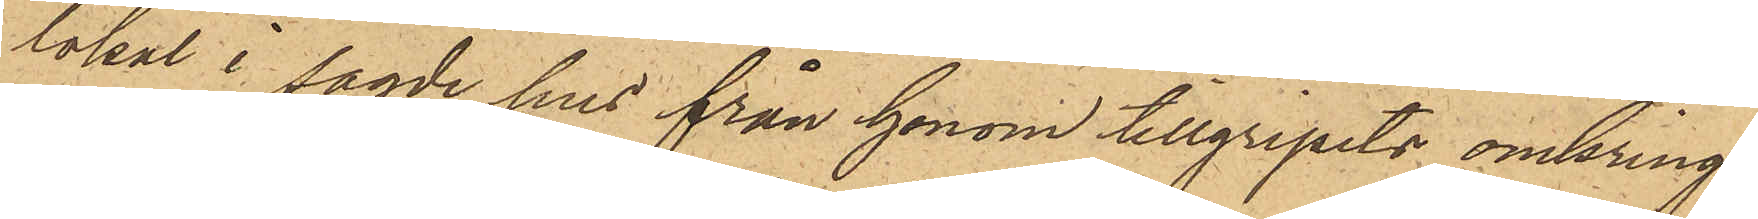lokal i sagde hus från honom tillgripits omkring
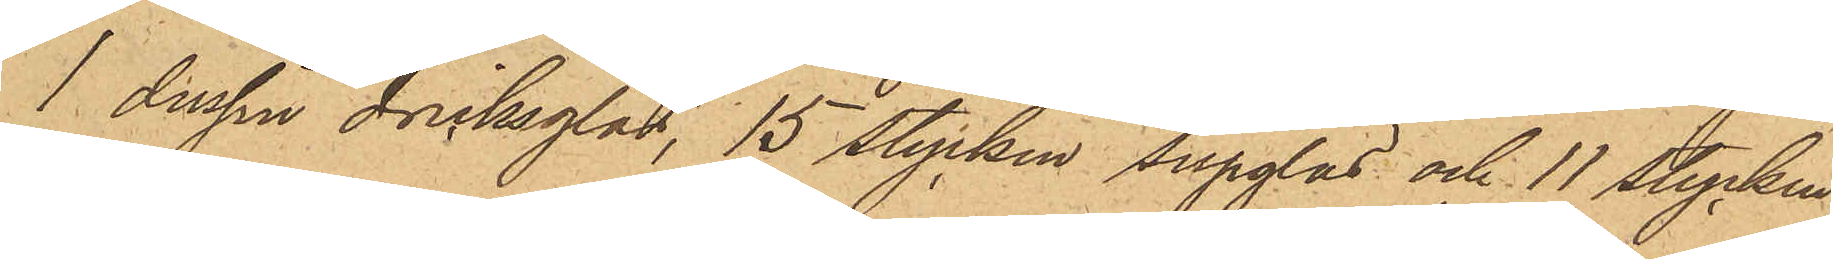1 dussin dricksglas, 15 stycken supglas och 11 stycken
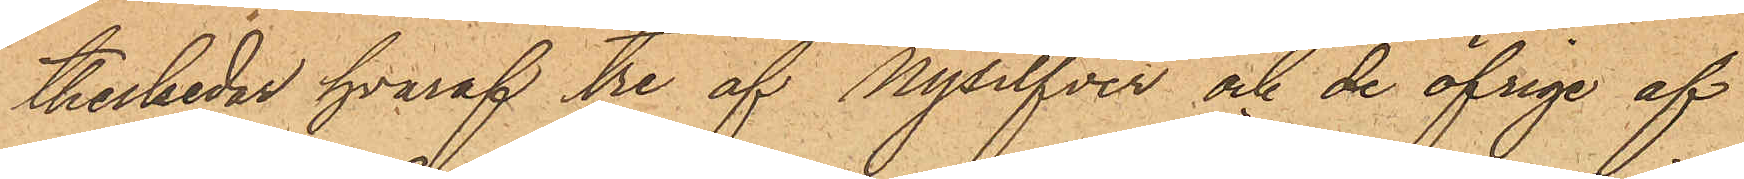theskedar hvaraf tre af Nysilfver och de öfrige af
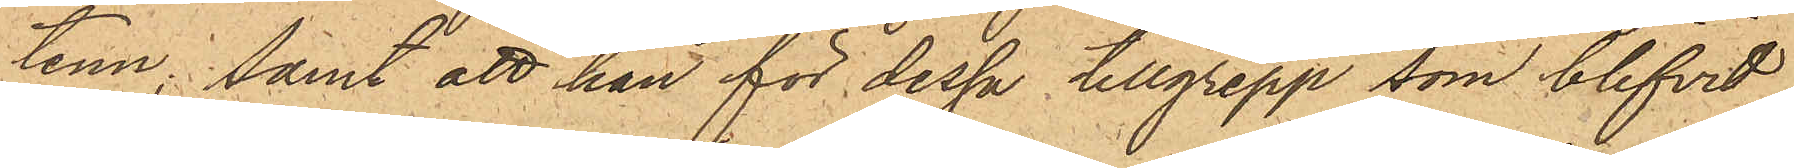tenn; samt att han för dessa tillgrepp som blifvit
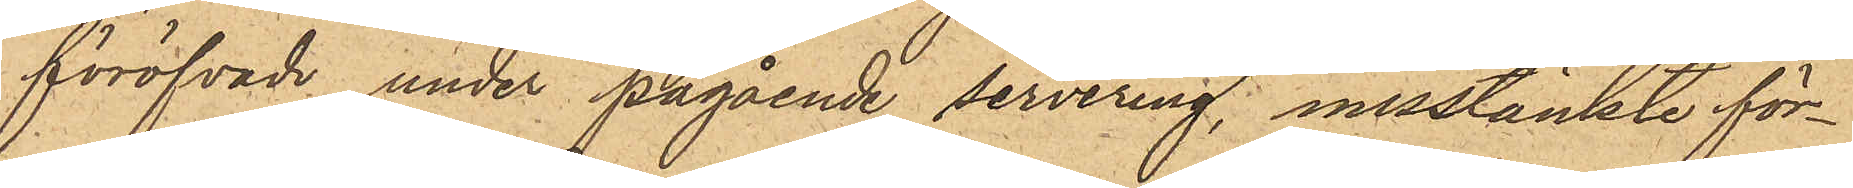föröfvade under pågående servering, misstänkte för¬
